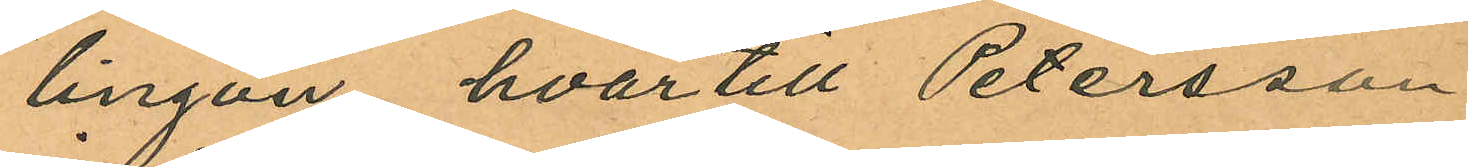lingon, hvartill Petersson
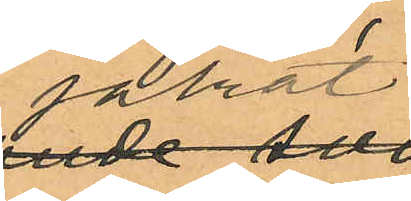jakat
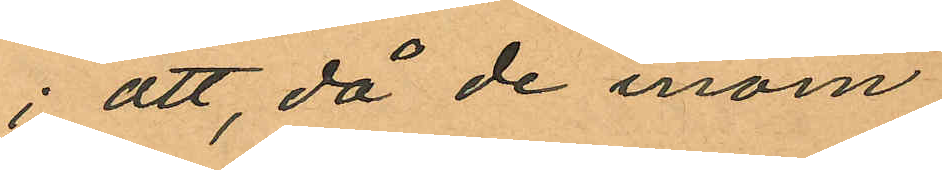; att, då de inom
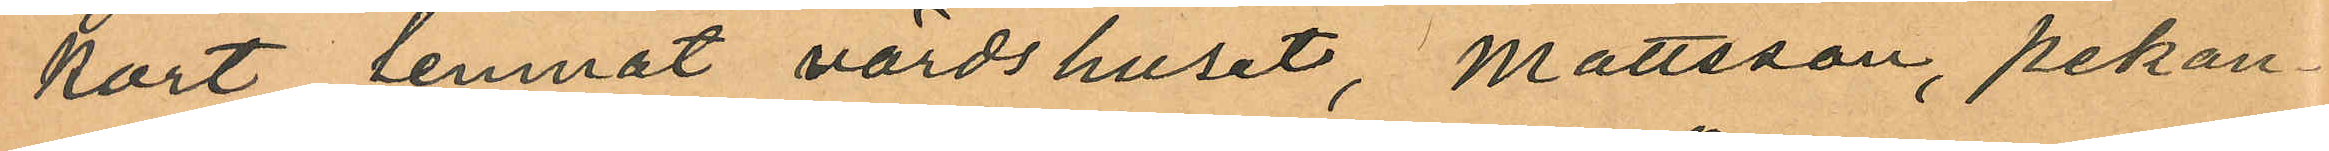kort lemnat värdshuset, Mattsson, pekan¬
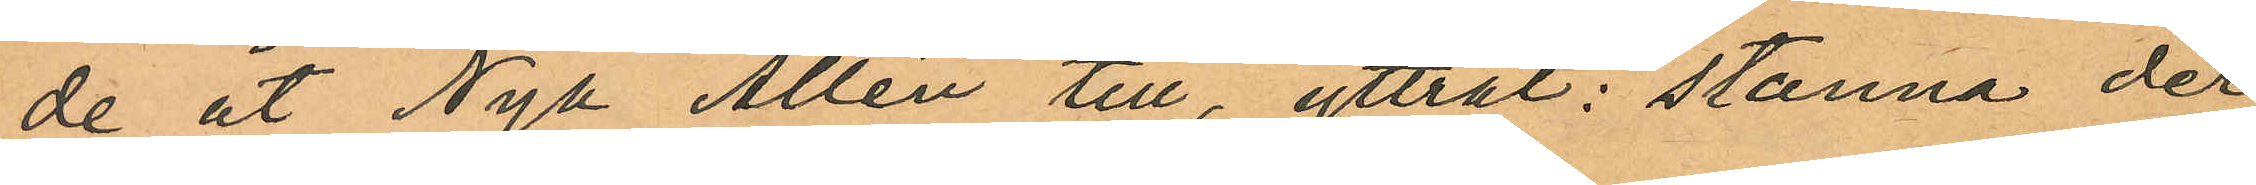de åt Nyl Allén till, yttrat: "stanna der
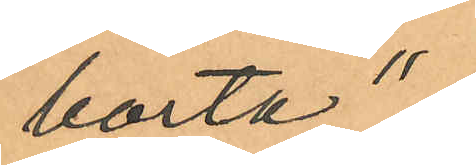borta",
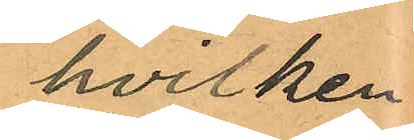hvilken
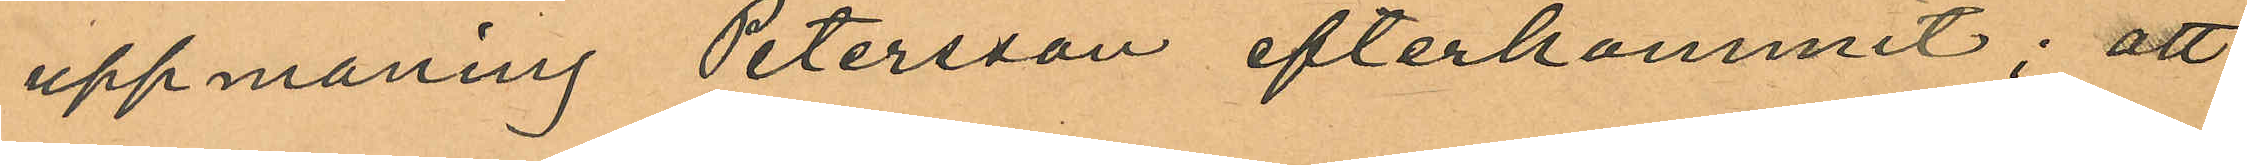uppmaning Petersson efterkommit; att
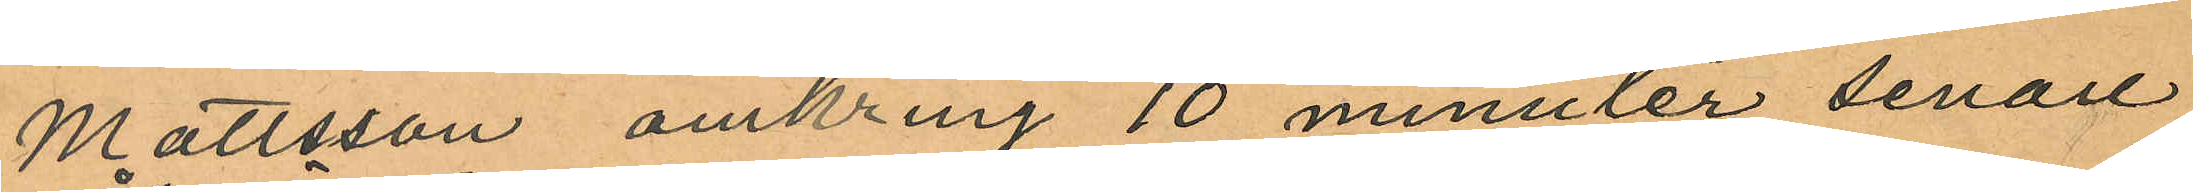Mattsson omkring 10 minuter senare
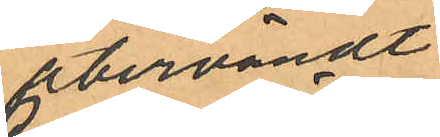återvändt
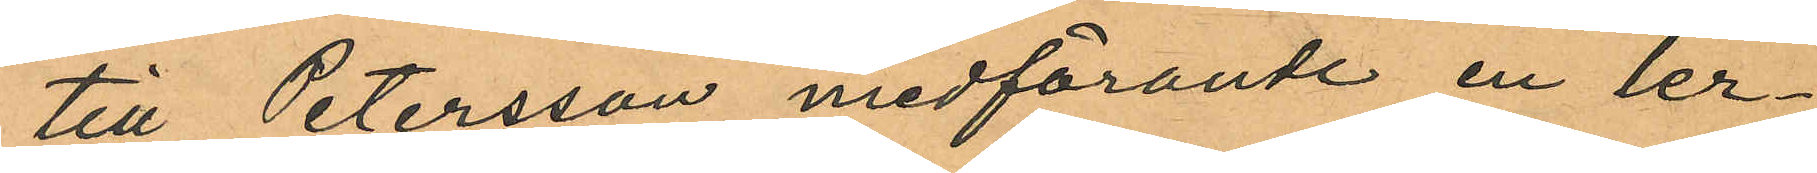till Petersson medförande en ler¬
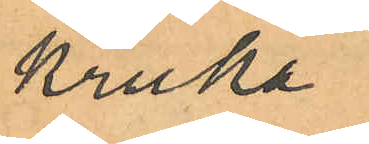kruka
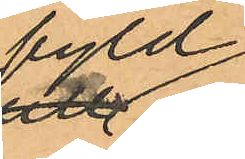fyld
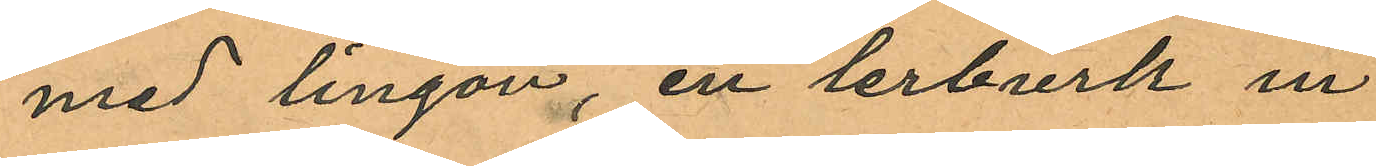med lingon, en lerburk in¬
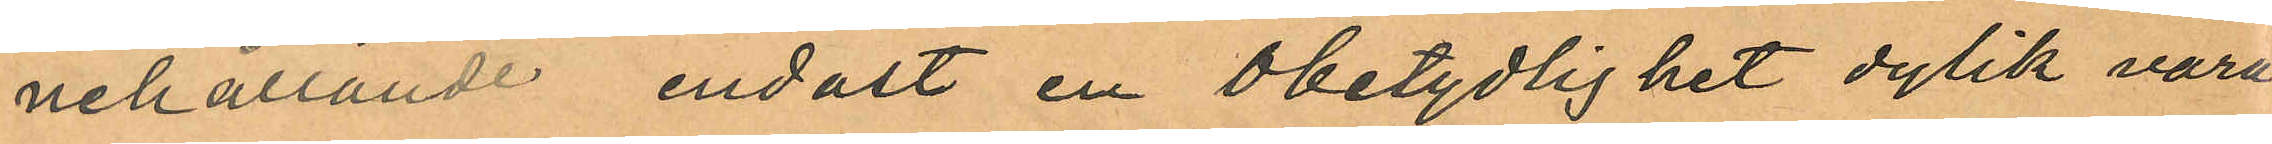nehållande endast en obetydlighet dylik vara
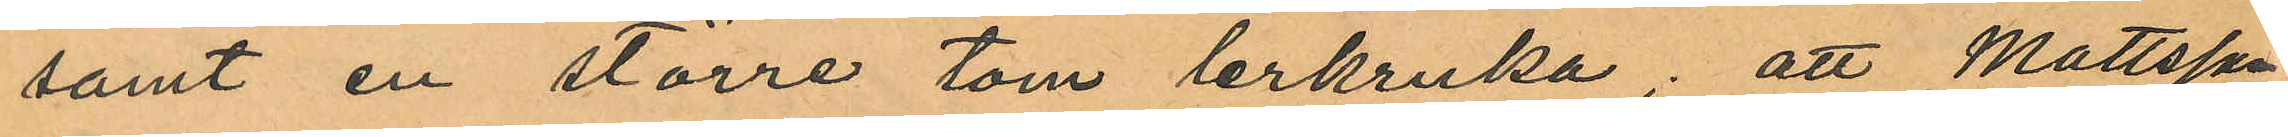samt en större tom lerkruka; att Mattsson
